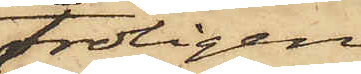troligen
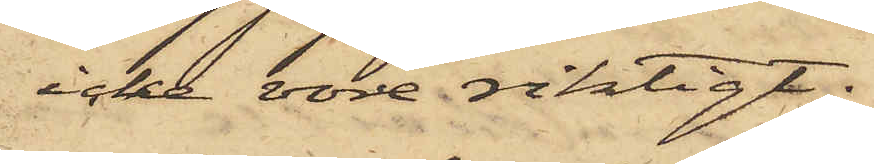icke vore riktigt,
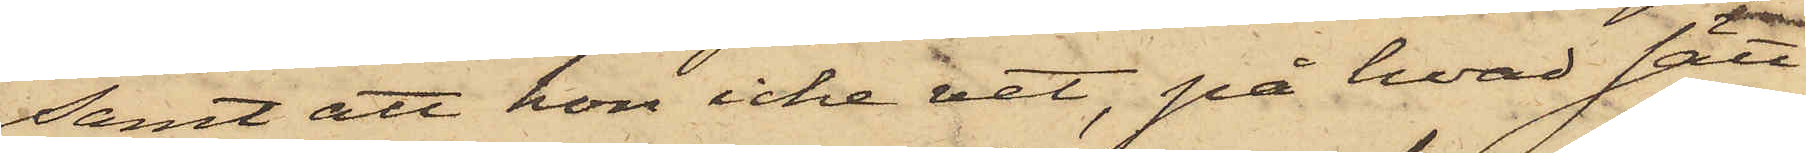samt att hon icke vet, på hvad sätt
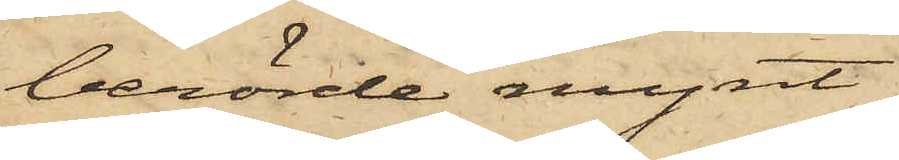berörde mynt,
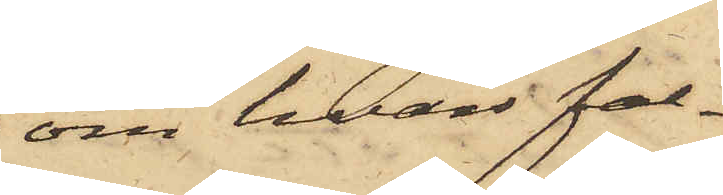om hvars fal¬
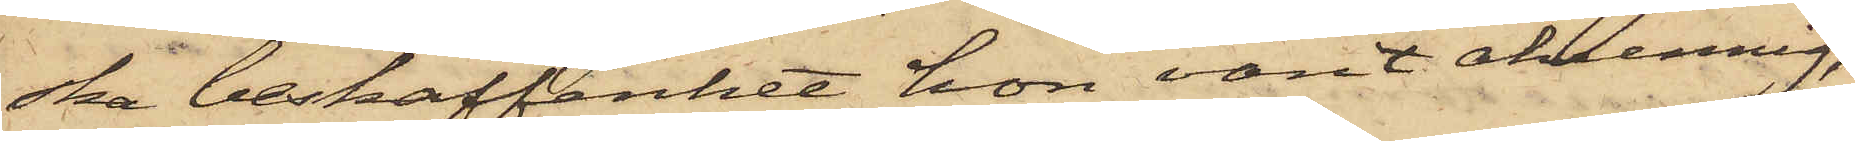ska beskaffenhet hon varit okunnig,
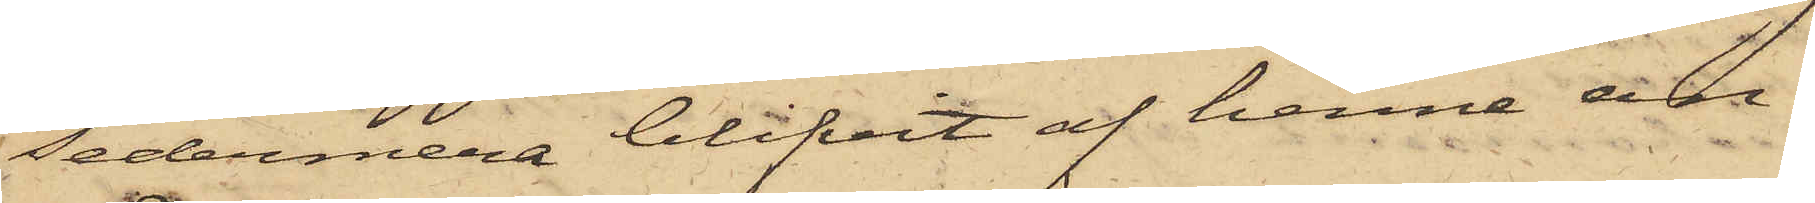sedermera blifvit af henne an¬
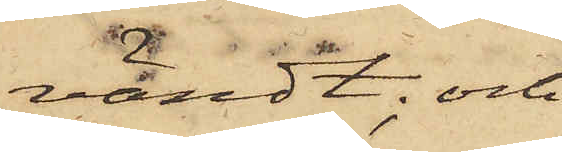vändt; och
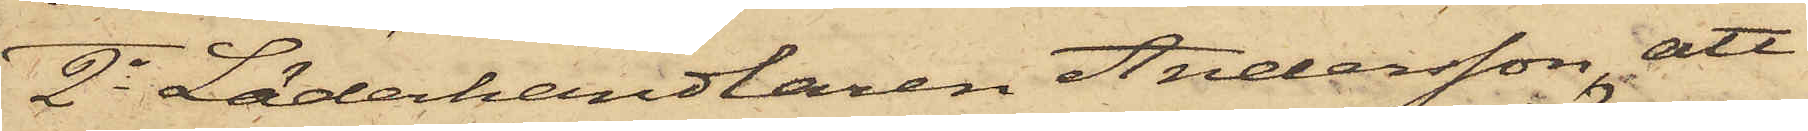2o Läderhandlaren Andersson, att
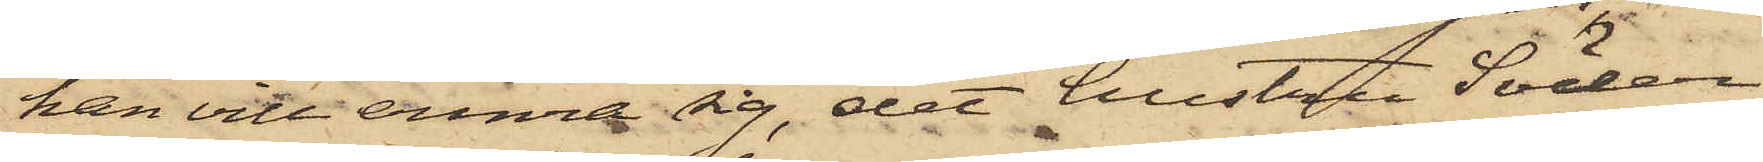han vill erinra sig, det hustru Söder¬
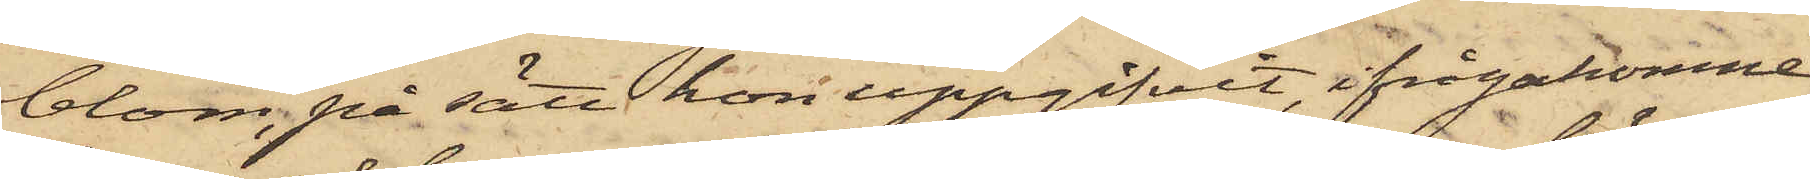blom, på sätt hon uppgifvit, ifrågakomne
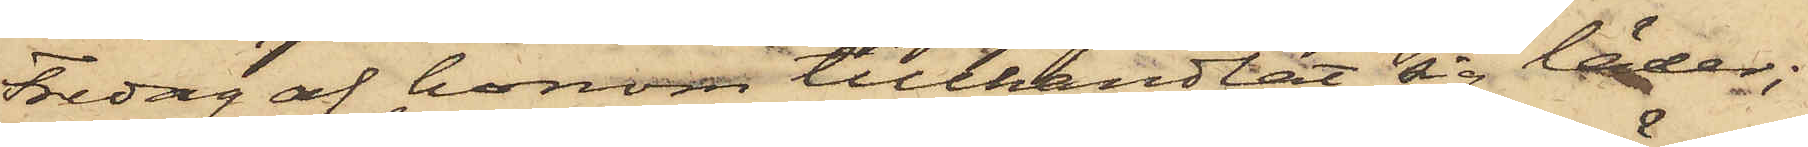Fredag af honom tillhandlat sig läder;
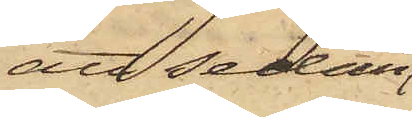att sedan
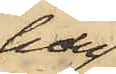han
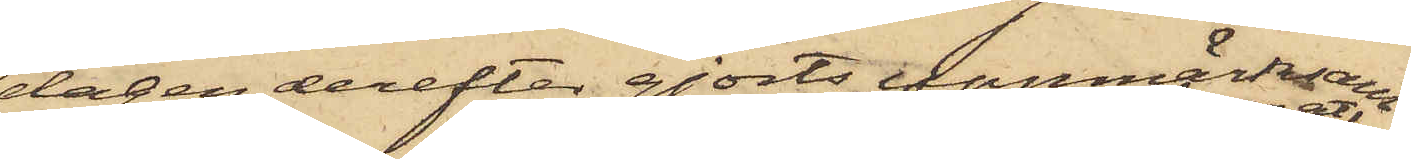dagen derefter gjorts uppmärksam
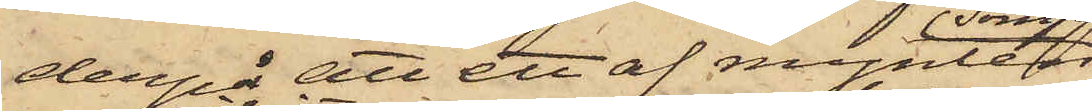derpå att ett af mynten
